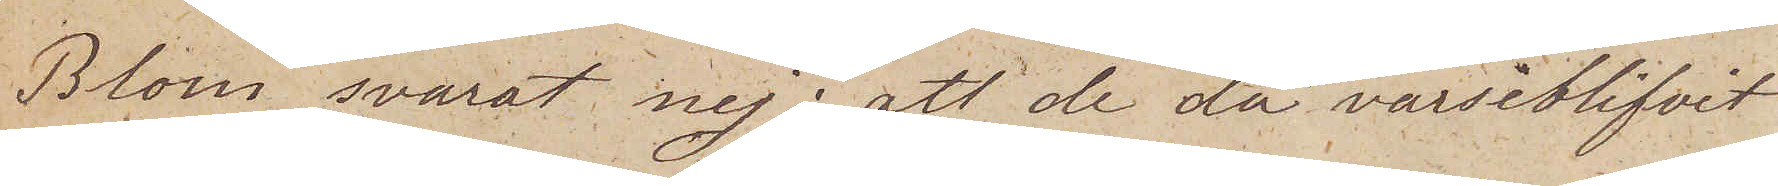Blom svarat nej; att de då varseblifvit
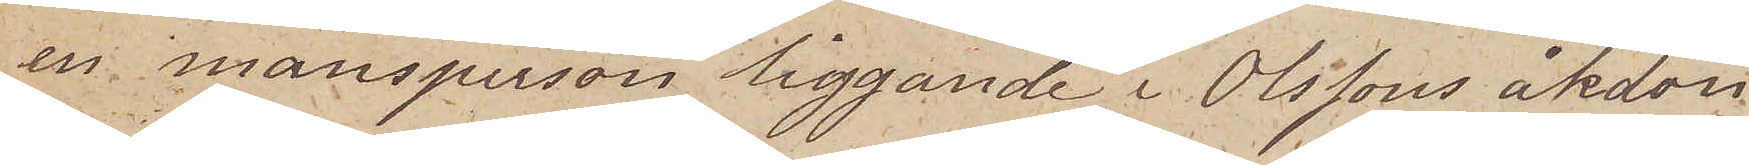en mansperson liggande i Olssons åkdon
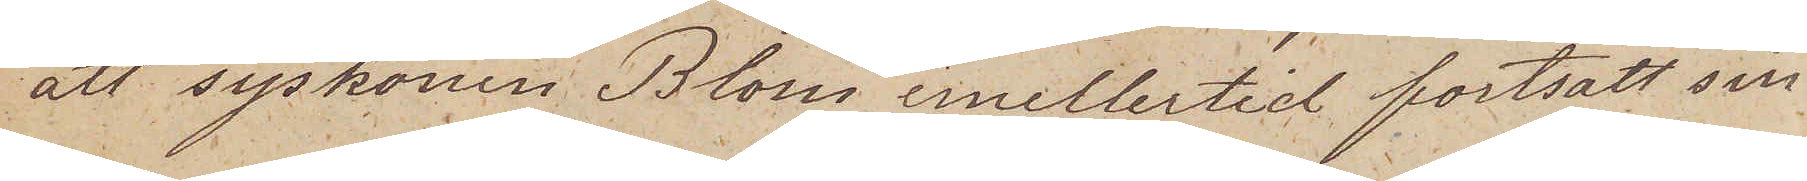att syskonen Blom emellertid fortsatt sin
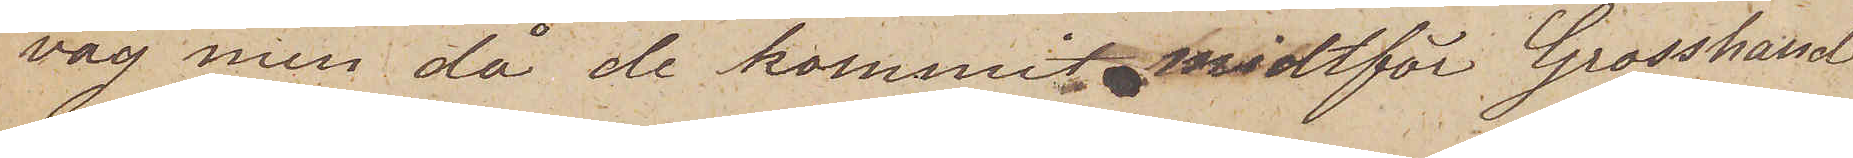väg men då de kommit midtför Grosshand
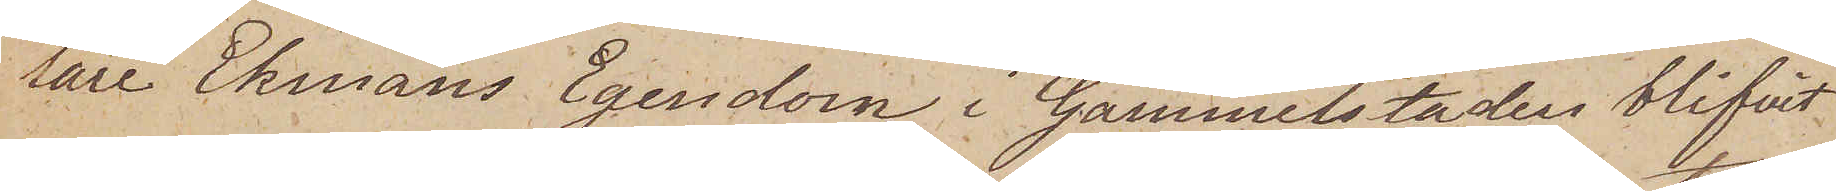lare Ekmans Egendom i Gammelstaden blifvit
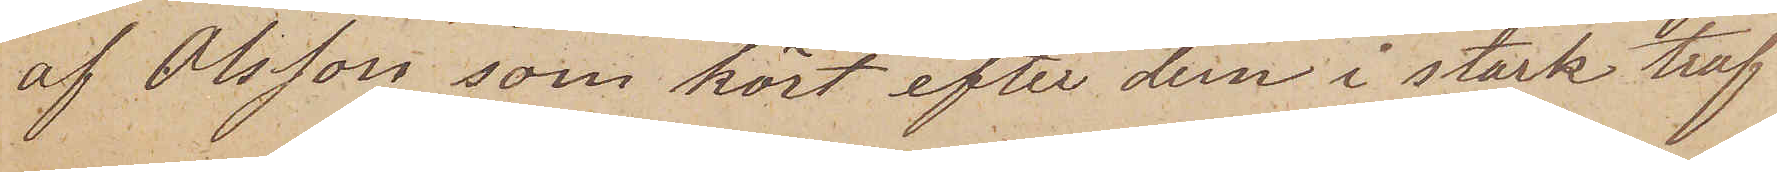af Olsson som kört efter dem i stark traf
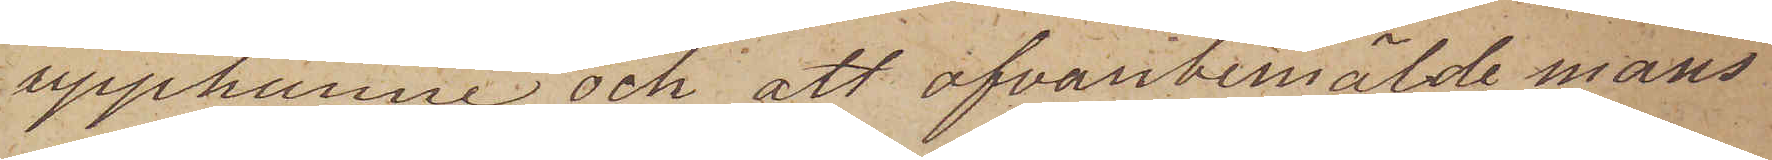upphunne och att ofvanbemälde mans
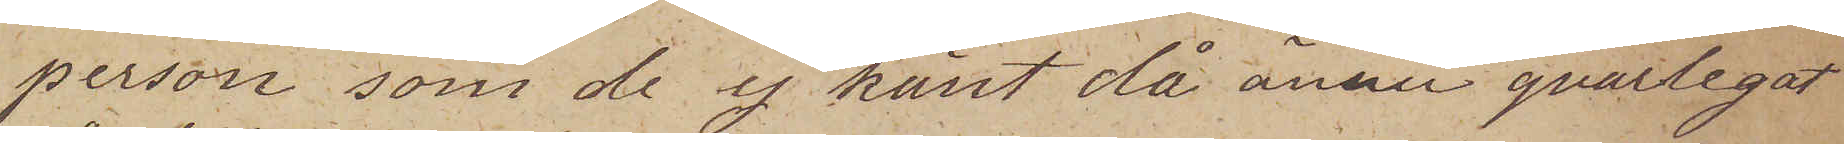person, som de ej känt då ännu qvarlegat
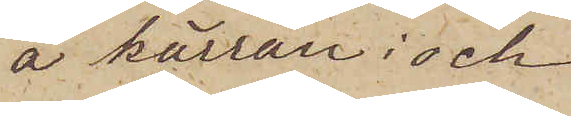å kärran; och
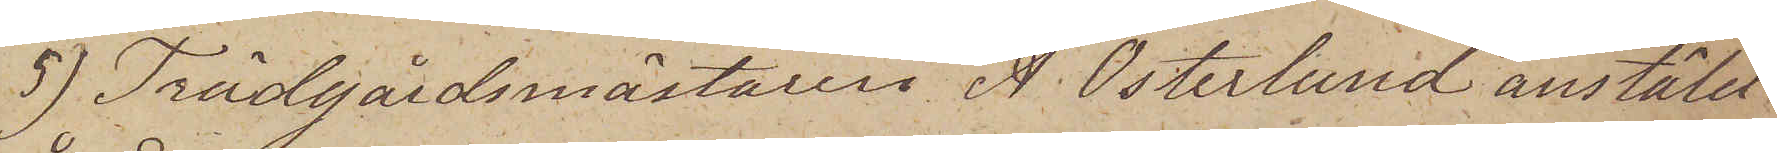5) Trädgårdsmästaren A. Österlund anstäld
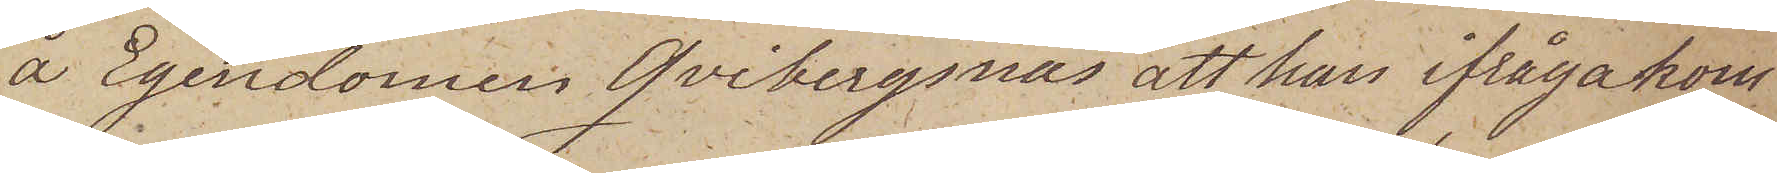å Egendomen Qvibergsnäs att han ifrågakom
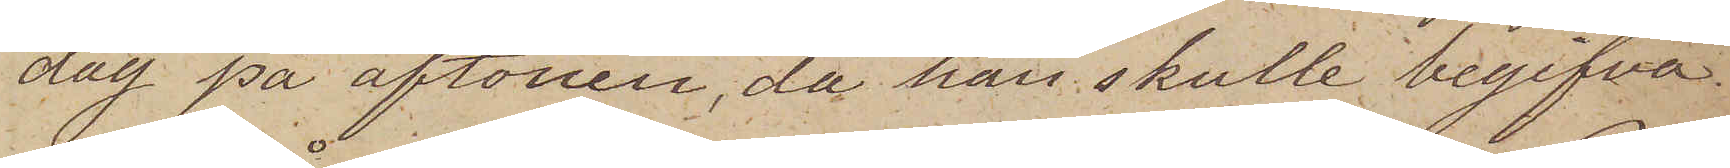dag på aftonen, då han skulle begifva
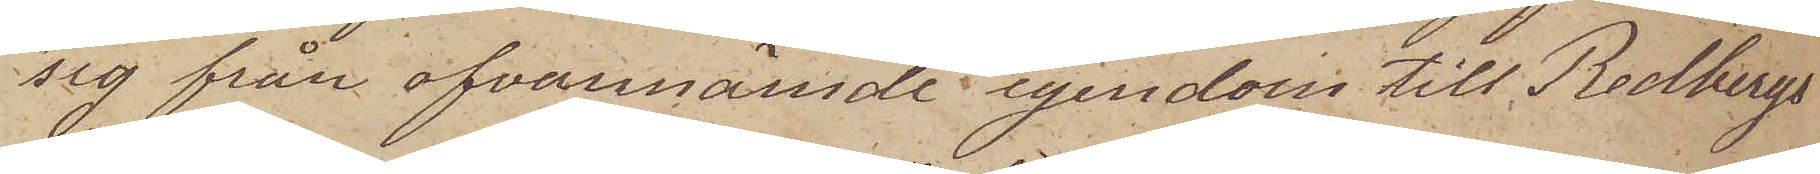sig från ofvannämde egendom till Redbergs
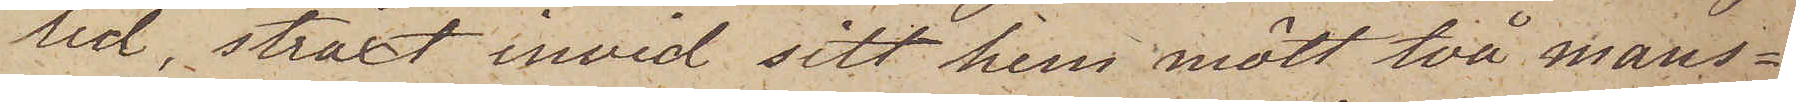lid, straxt invid sitt hem mött två mans¬
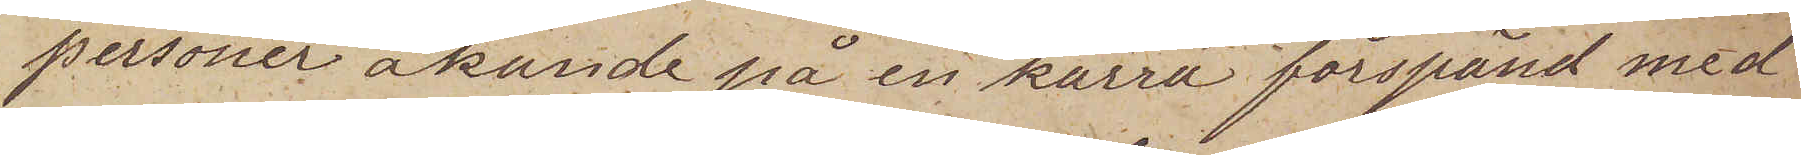personer åkande på en kärra förspand med
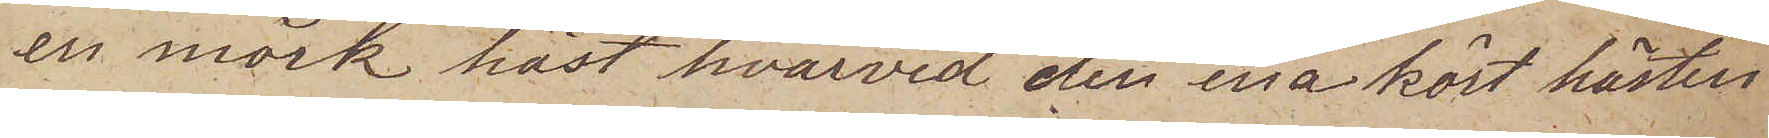en mörk häst hvarvid den ena kört hästen
